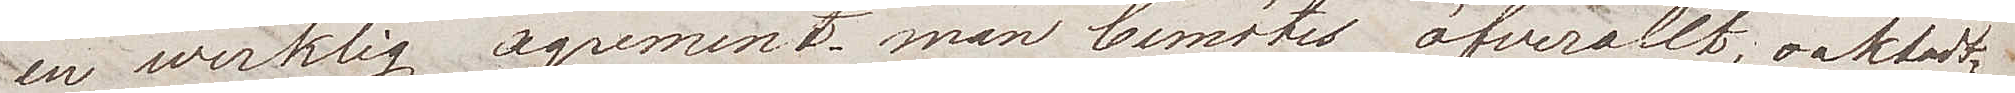en werklig agrement; man bemötes öfverallt, oaktadt
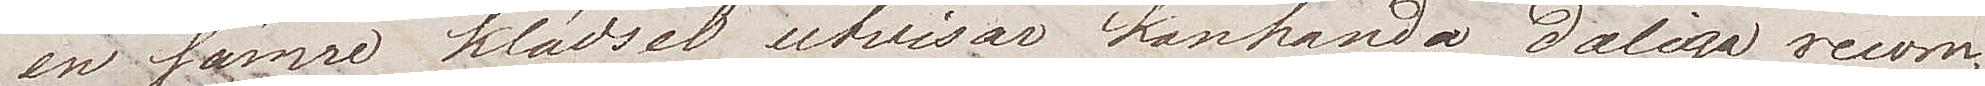en sämre klädsel utvisar kanhända dåliga recom¬
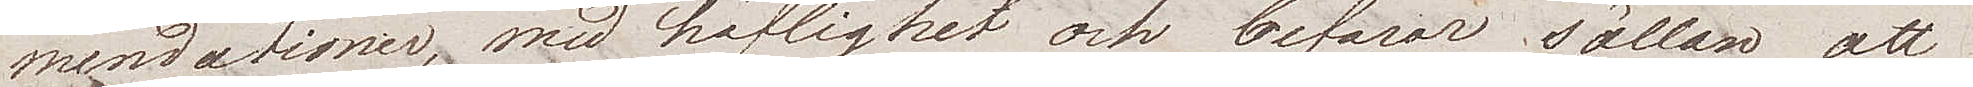mendationer, med höflighet och befarar sällan att
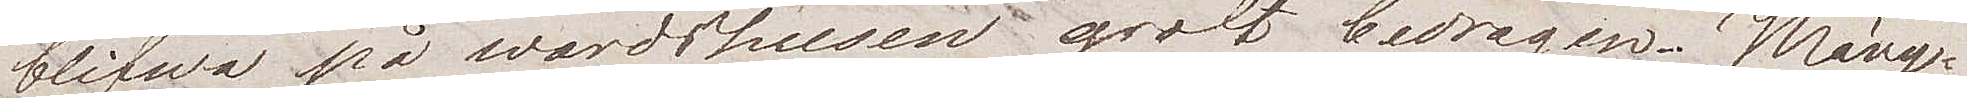blifwa på wärdshusen groft bedragen. Mäng¬
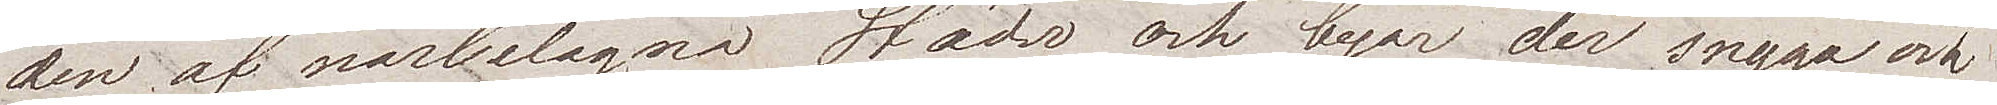den af närbelägna Städer och byar der snyga och
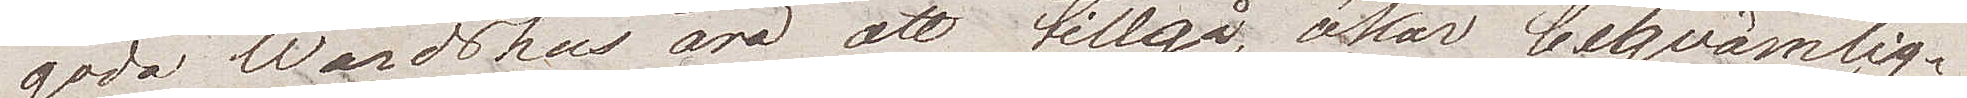goda Wärdshus äro att tillgå, ökar beqvämlig¬
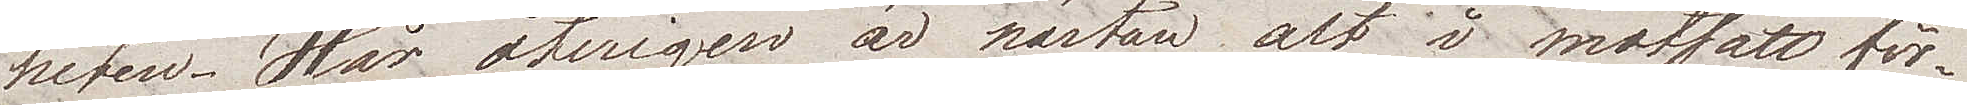heten. Här återigen är nästan alt i motsatt för¬
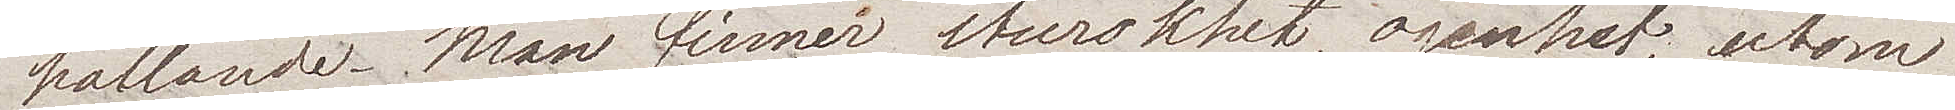hållande. Man finner sturskhet, oginhet, utom
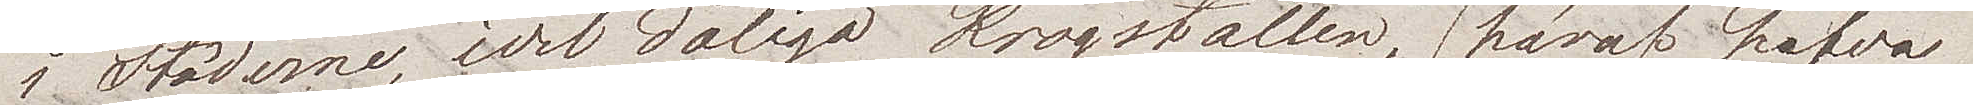i Städerna, och dåliga krogställen, (häraf hafva
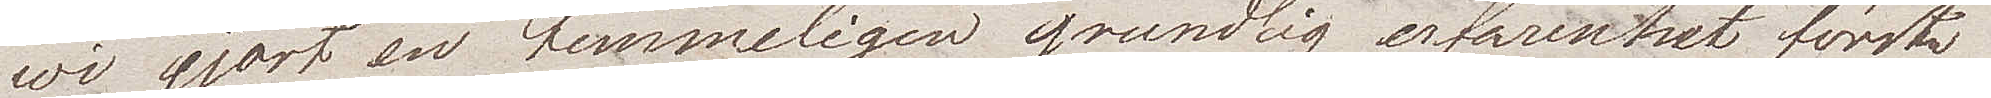wi gjort en temmeligen grundlig erfarenhet första
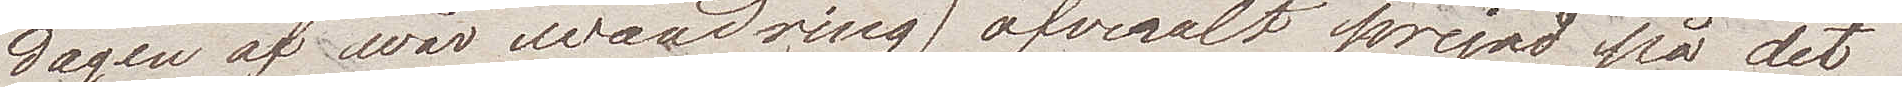dagen af wår wandring) öfveralt  prejad på det
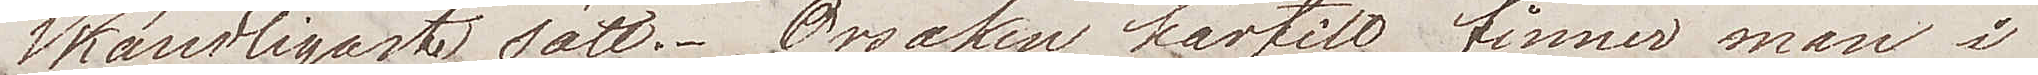skändligaste sätt. Orsaken härtill finner man i
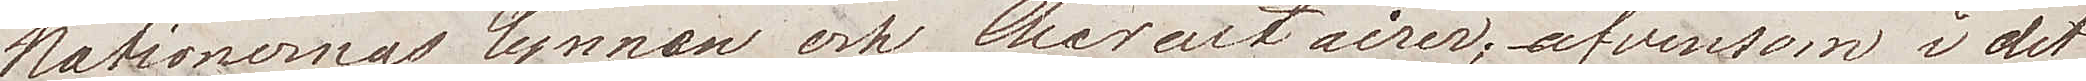Nationernas lynnen och charactairer; äfvensom i det
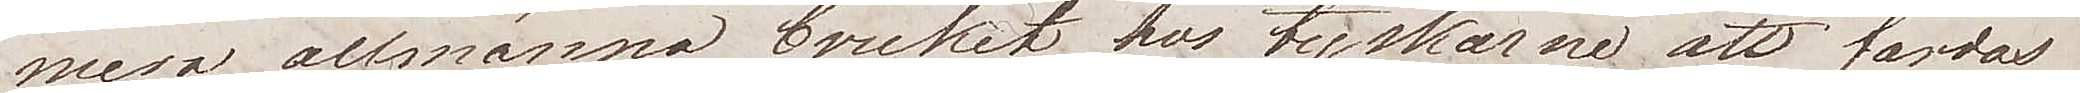mera allmänna bruket hos tyskar att färdas
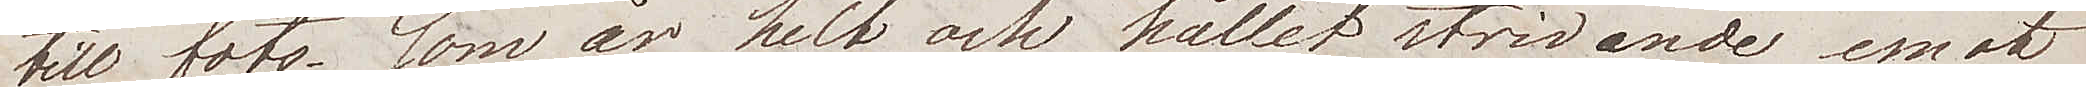till fots, som är helt och hållet stridande emot
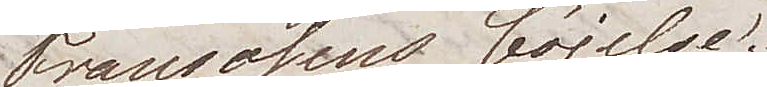Fransosens böjelse.
